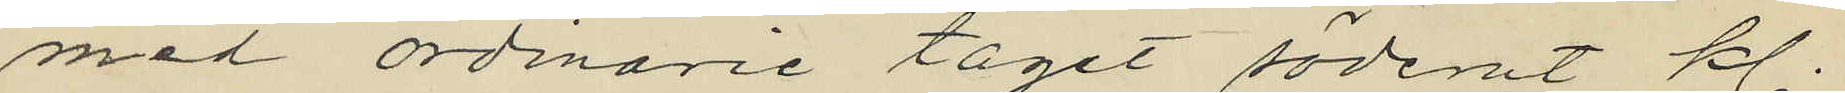med ordinarie tåget söderut kl.
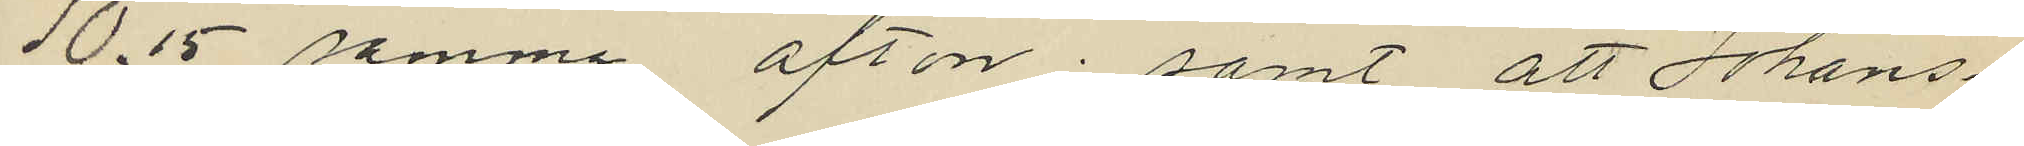10,15 samma afton; samt att Johans¬
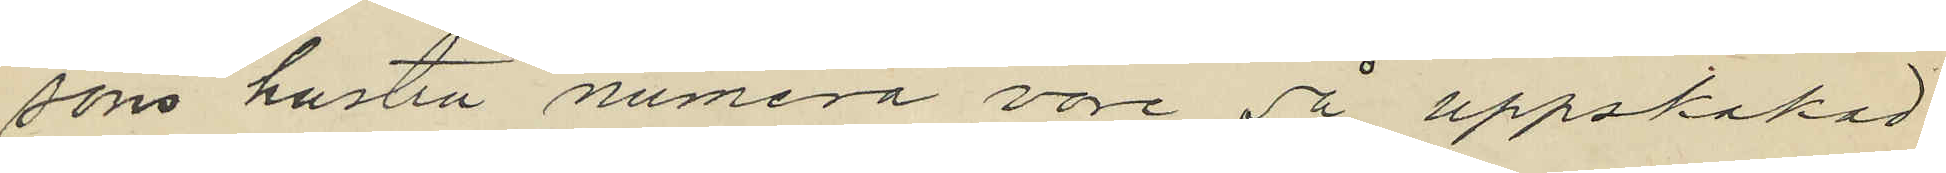sons hustru numera vore så uppskakad
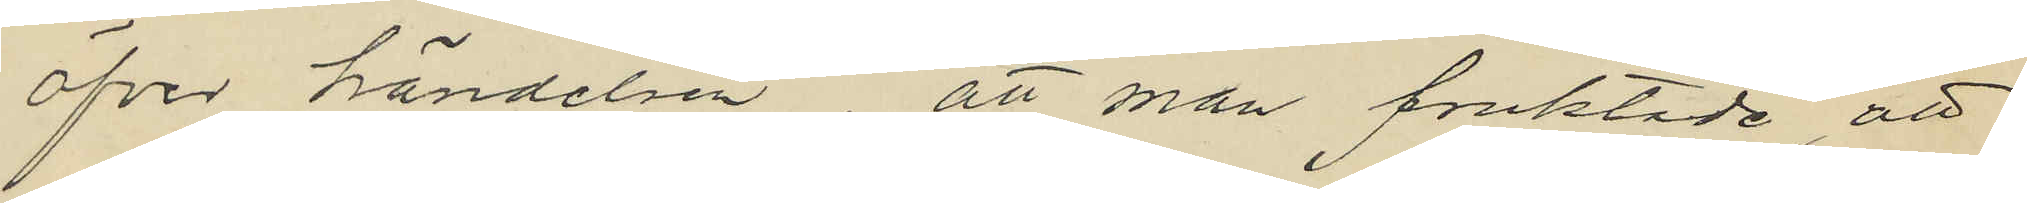öfver händelsen, att man fruktade, att
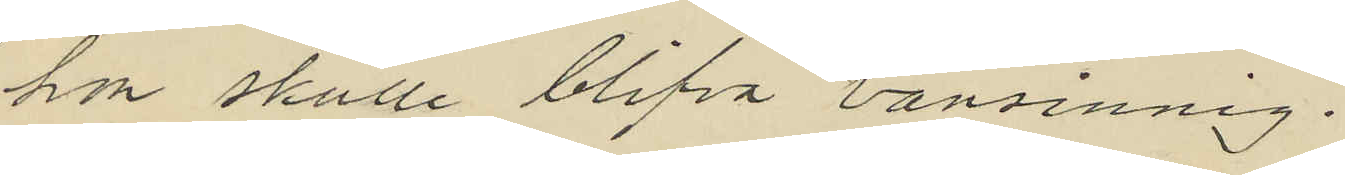hon skulle blifva vansinnig.
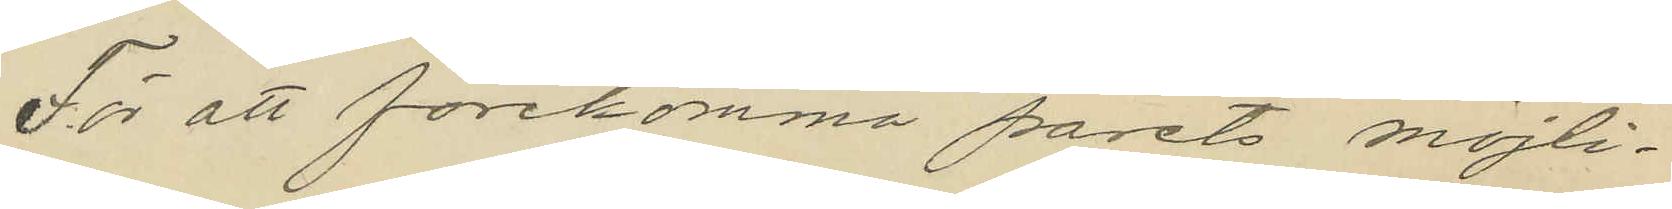För att förekomma parets möjli¬
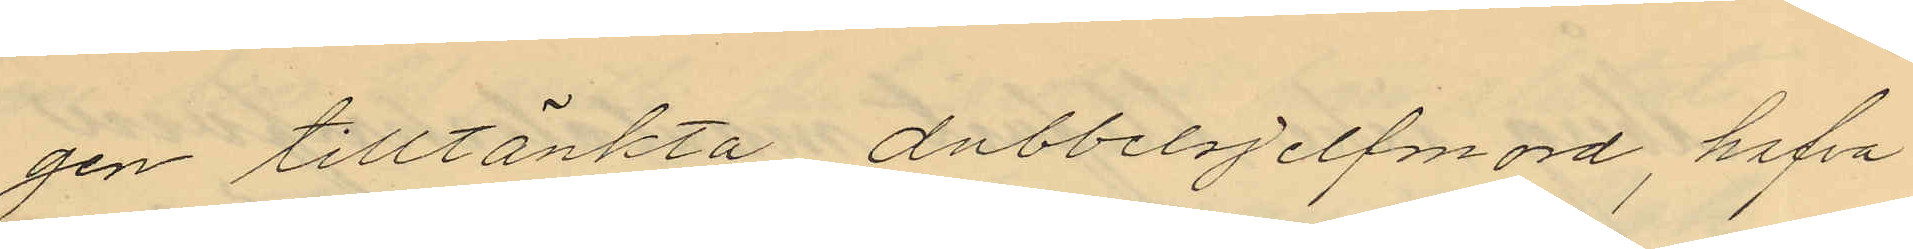gen tilltänkta dubbelsjelfmord, hafva
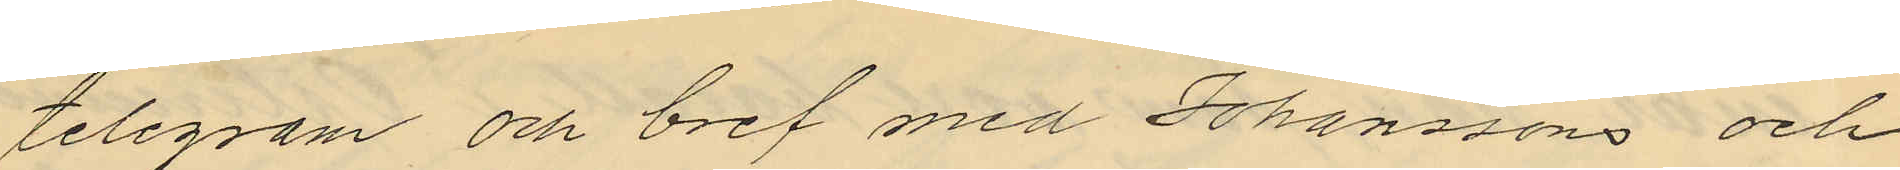telegram och bref med Johanssons och
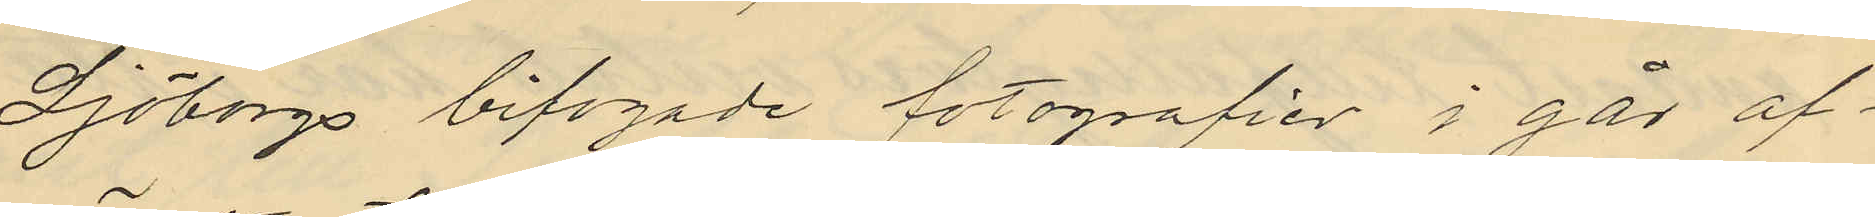Sjöborgs bifogade fotografier i går af¬
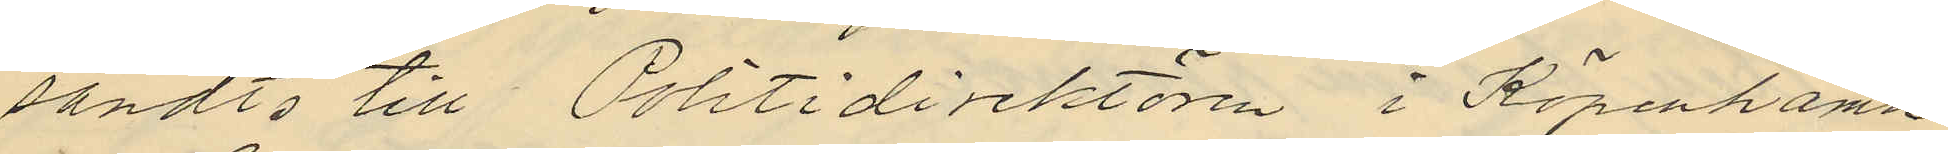sändts till Politidirektören i Köpenhamn.
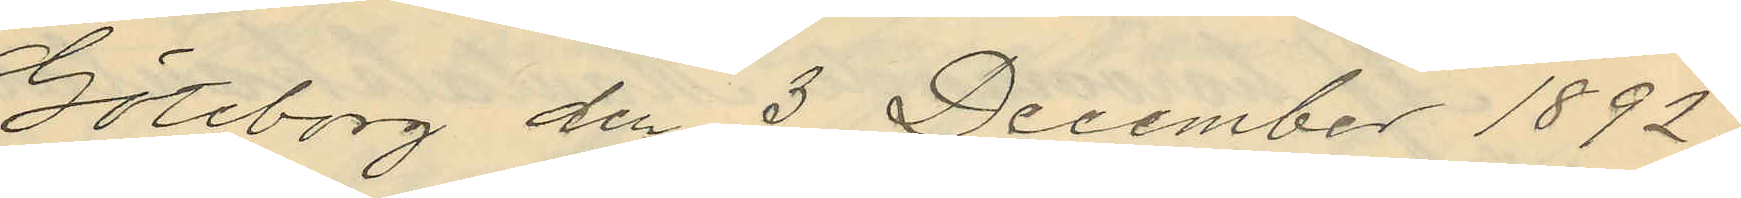Göteborg den 3 December 1892.
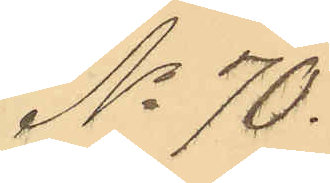No 70.
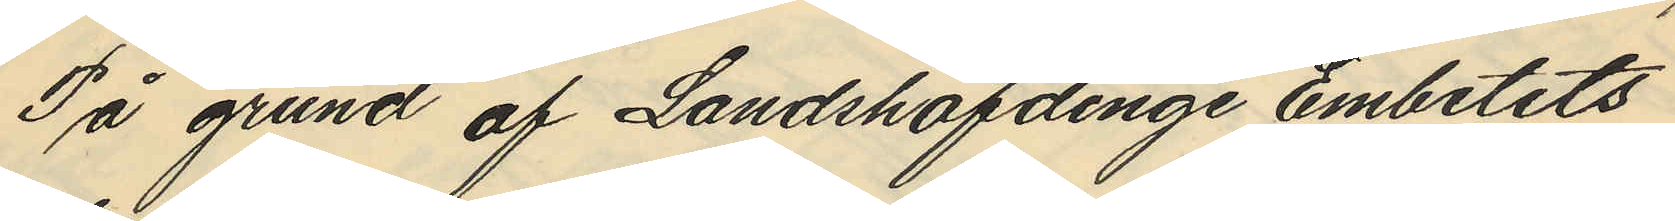På grund af Landshöfdinge Embetets
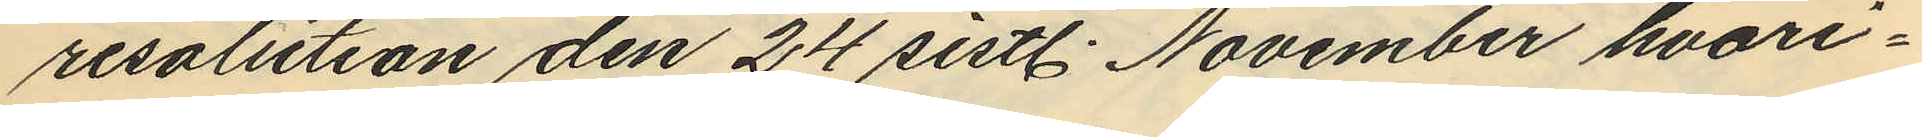resolution den 24 sistl. November hvari¬
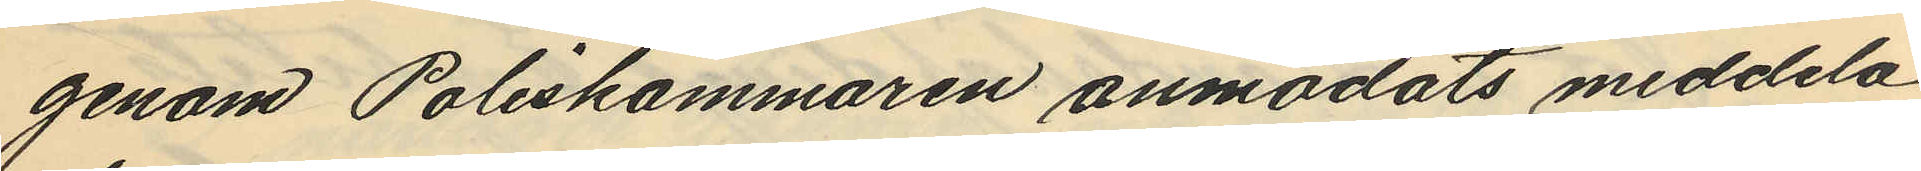genom Poliskammaren anmodats meddela
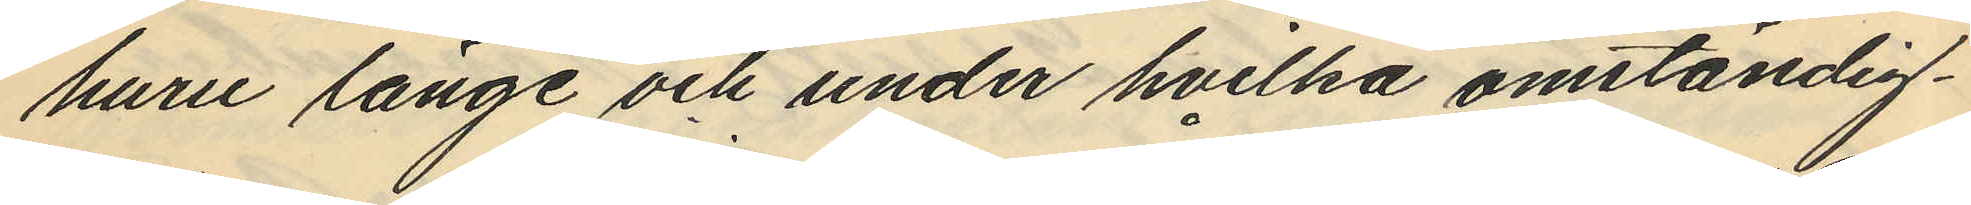huru länge och under hvilka omständig¬
